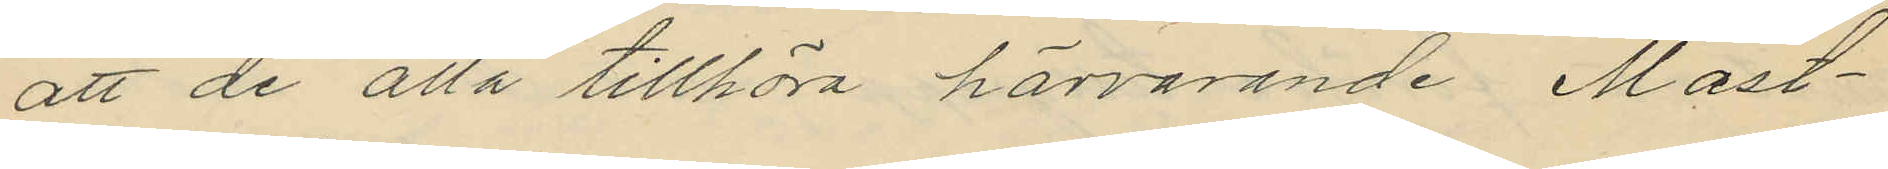att de alla tillhöra härvarande Mast¬
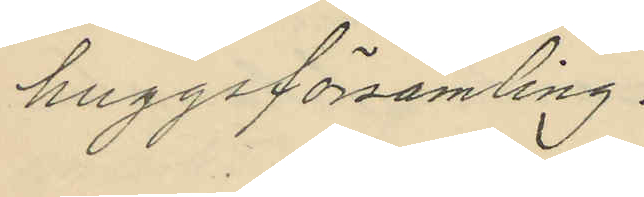huggsförsamling.
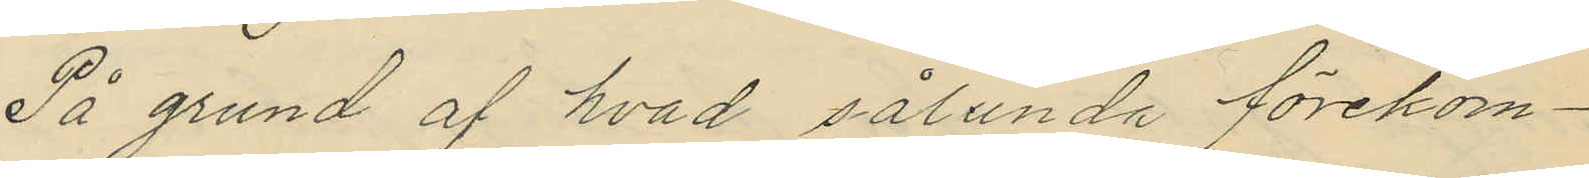På grund af hvad sålunda förekom¬
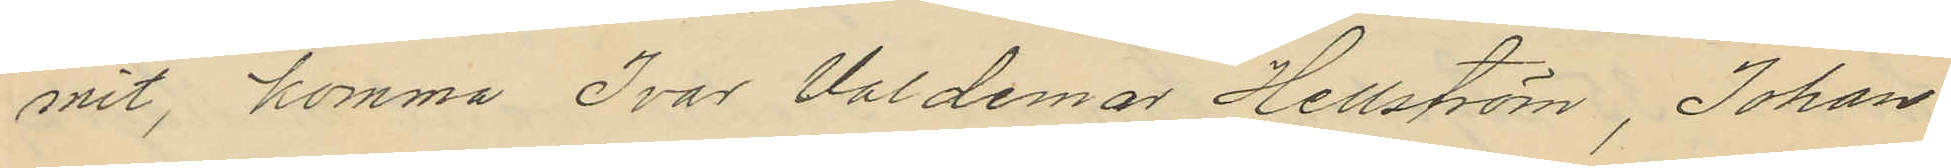mit, komma Ivar Valdemar Hellström, Johan
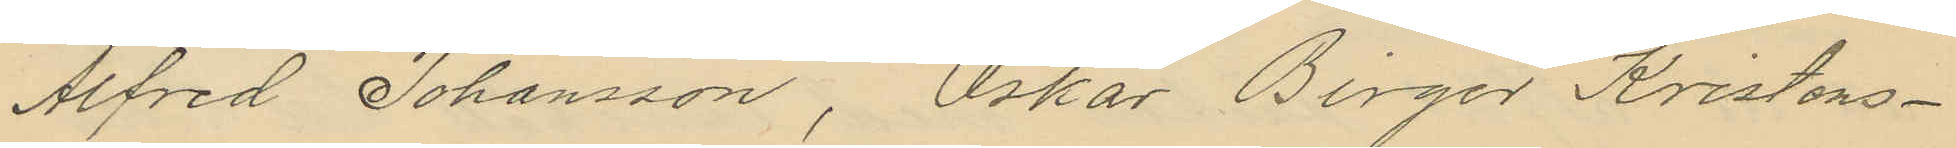Alfred Johansson, Oskar Birger Kristens¬
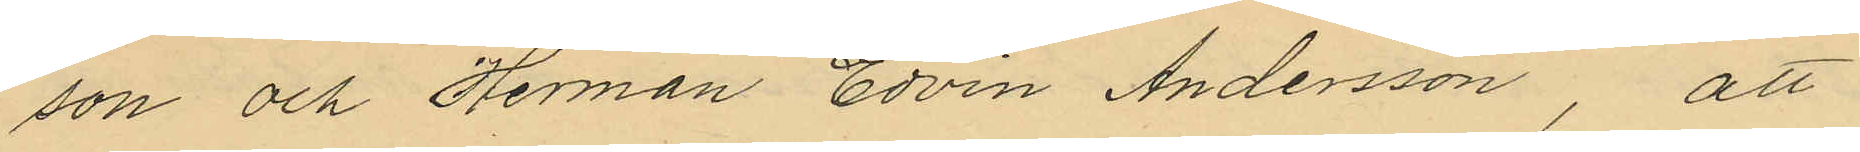son och Herman Edvin Andersson, att
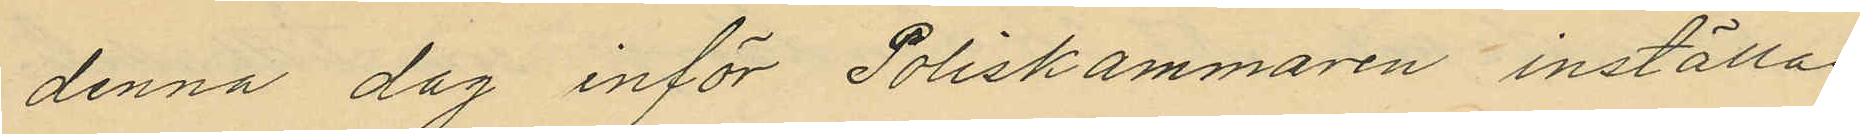denna dag inför Poliskammaren inställas.
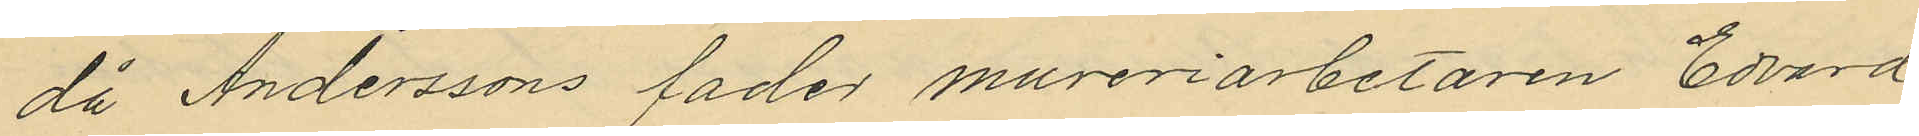då Anderssons fader mureriarbetaren Edvard
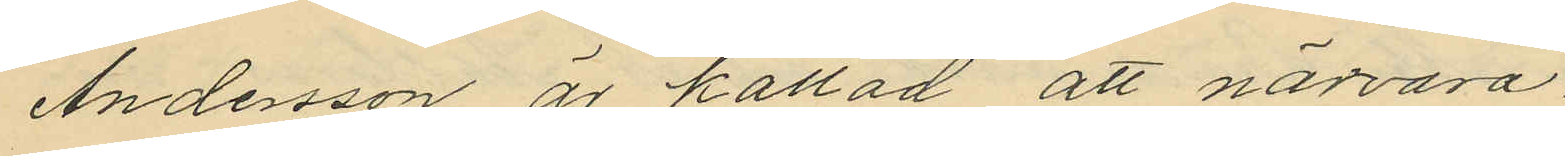Andersson är kallad att nädvara
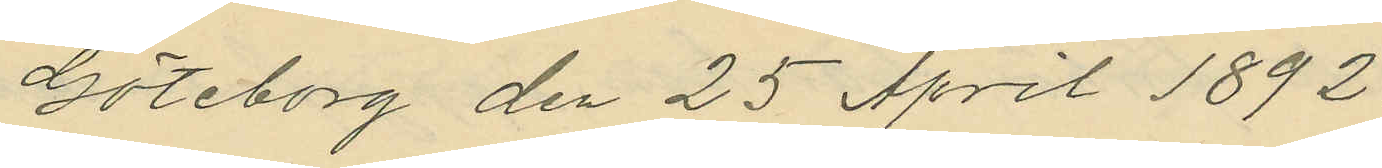Göteborg den 25 April 1892.
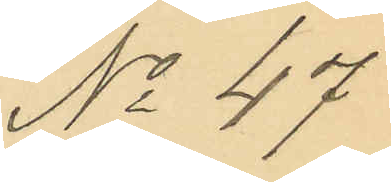No 47
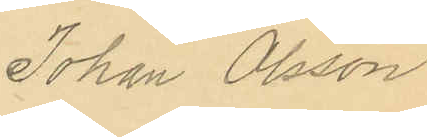Johan Olsson
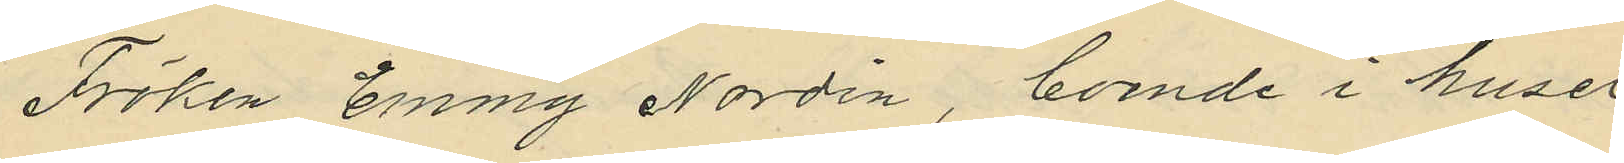Fröken Emmy Nordin, boende i huset
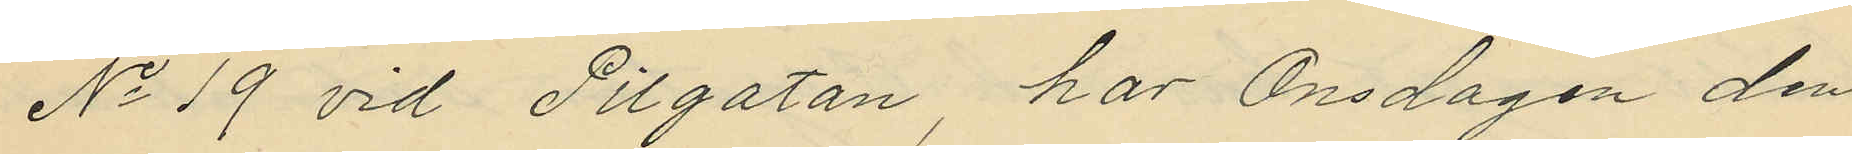No 19 vid Pilgatan har Onsdagen den
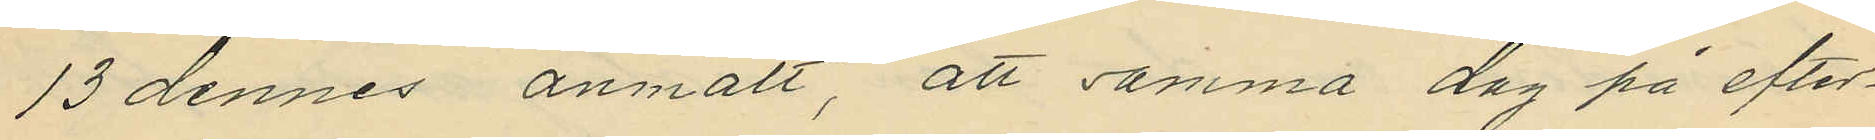13 dennes anmält, att samma dag på efter¬
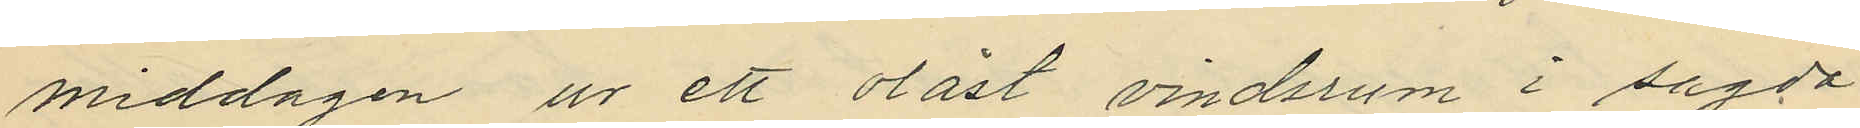middagen ur ett olåst vindsrum i sagda
